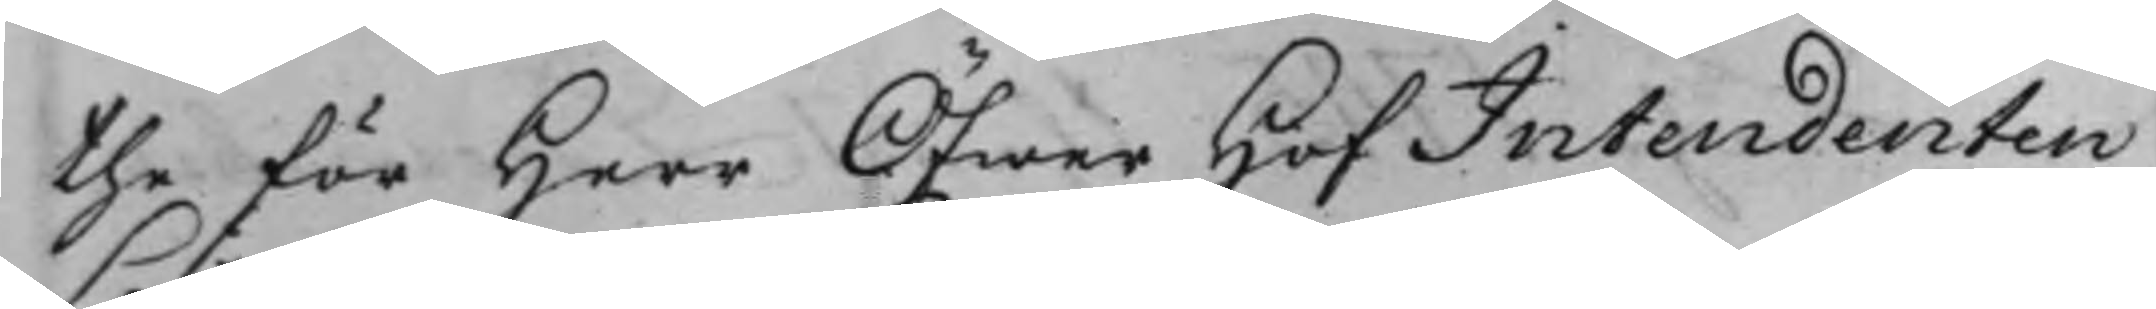the för Herr Öfwer HofIntendenten
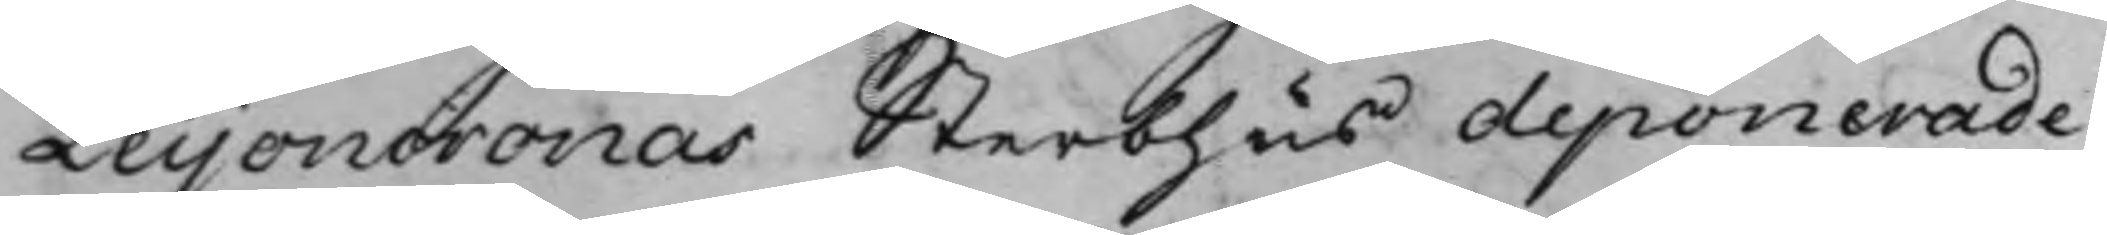Leijoncronas Sterbhus deponerade
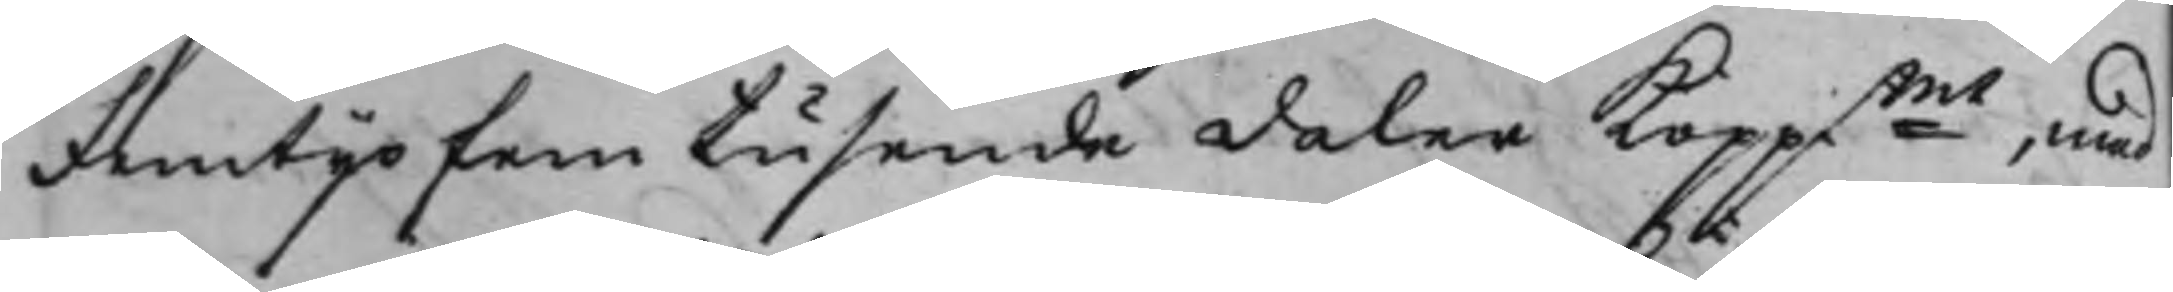Femtijofem tusende daler Koppmt, med
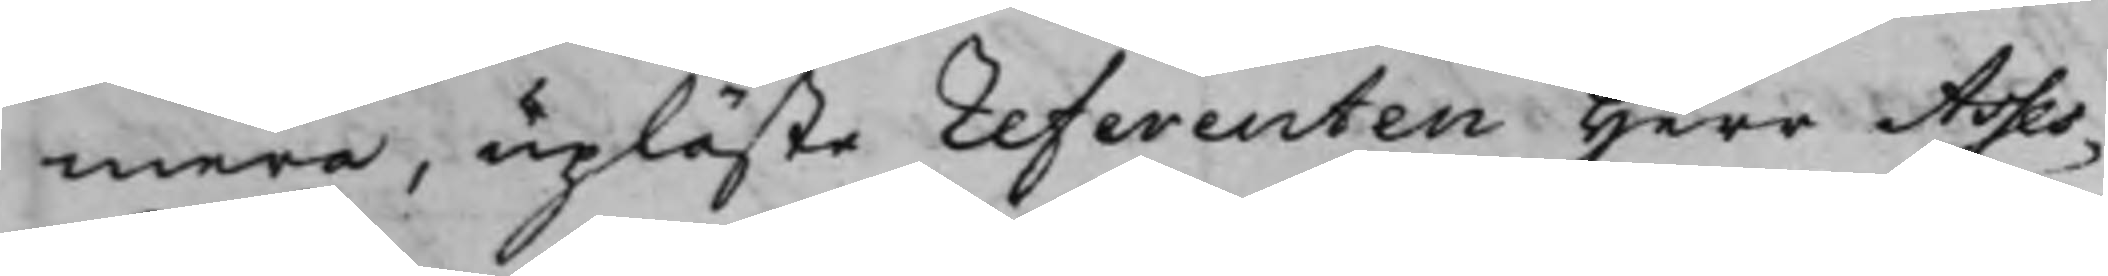mera, upläste referenten Herr Asses¬
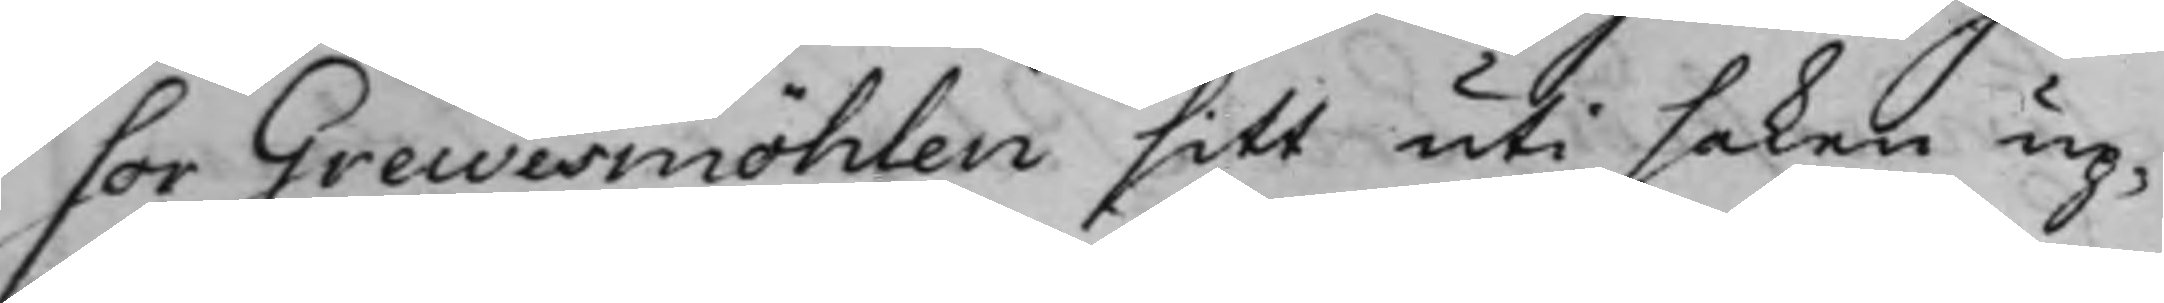sor Grewesmöhlen sitt uti saken up¬
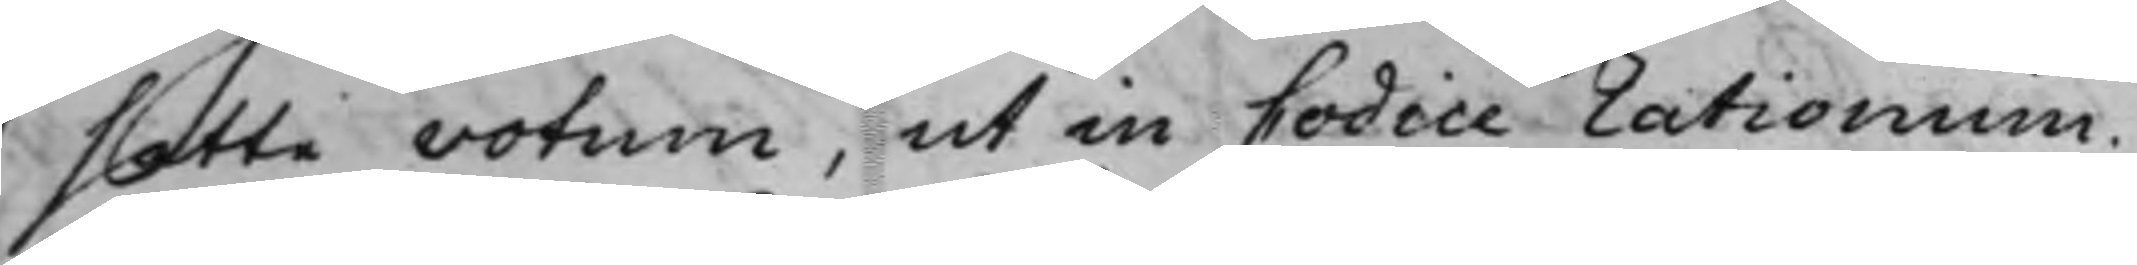satte votum, ut in Codice rationum.
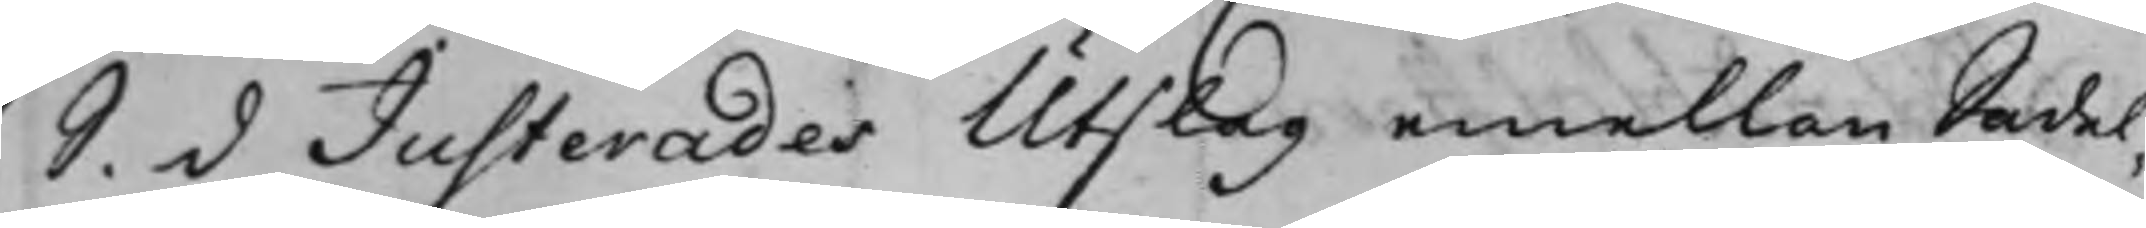S. d Justerades Utslag emellan Sadel¬
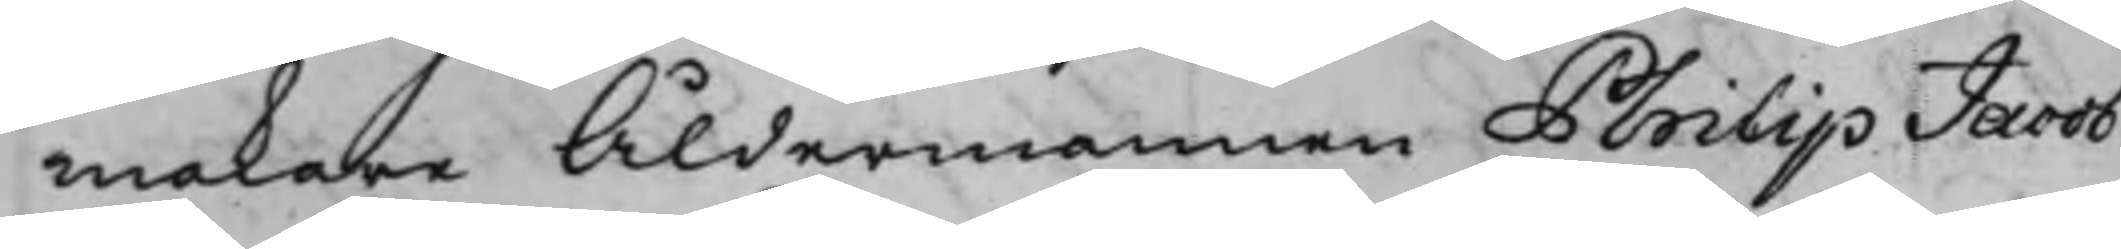makare Åldermannen Philip Jacob
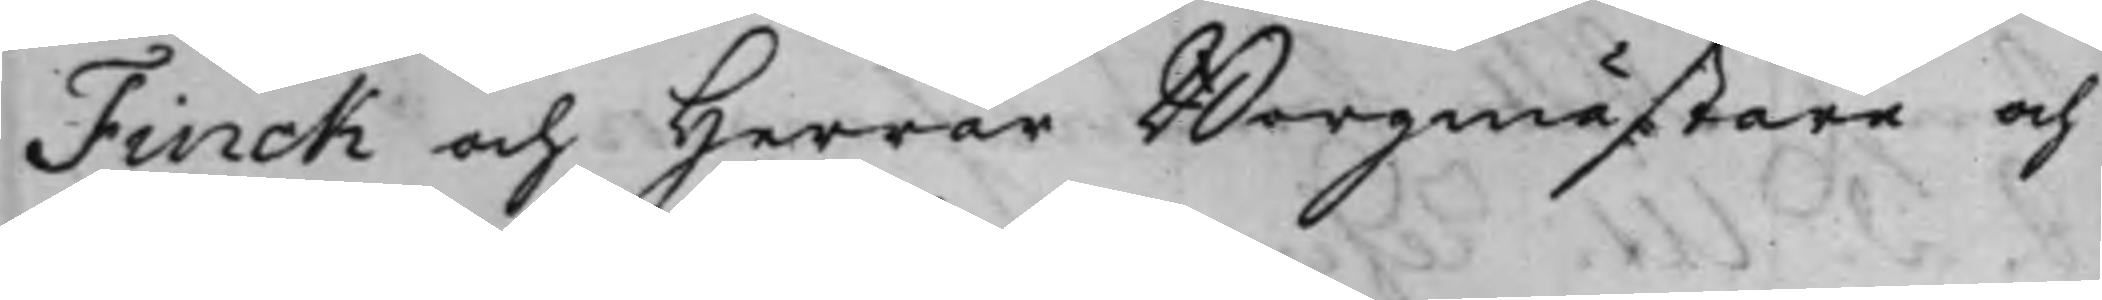Finck och Herrar Borgmästare och
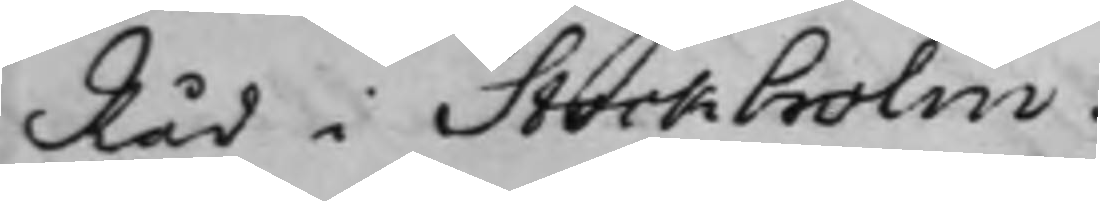Råd i Stockholm.
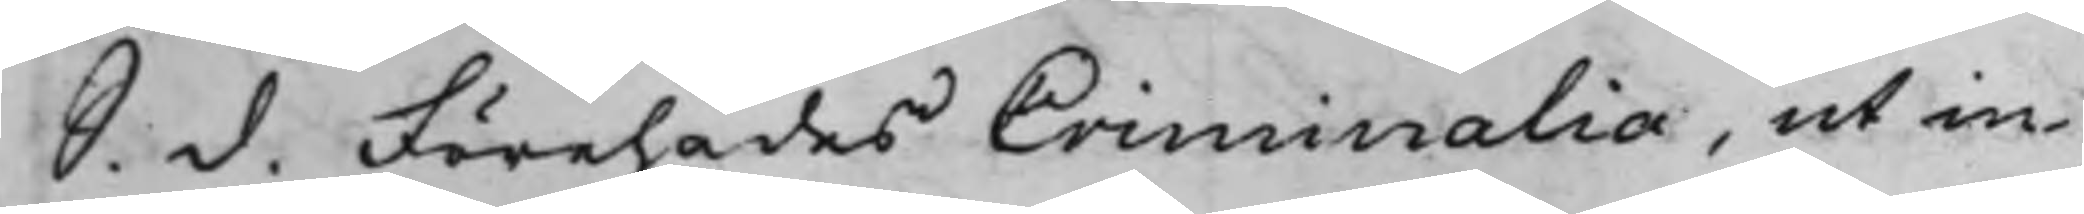S. d. Förehades Criminalia, ut in
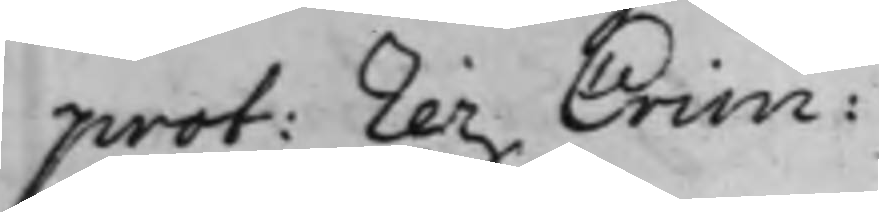prot: rer. Crim:
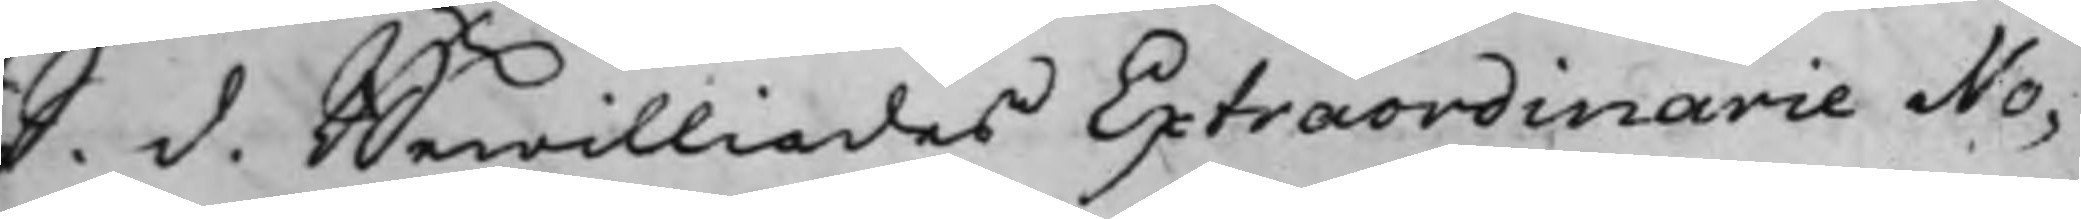S. d. Bewilliades Extraordinarie No¬
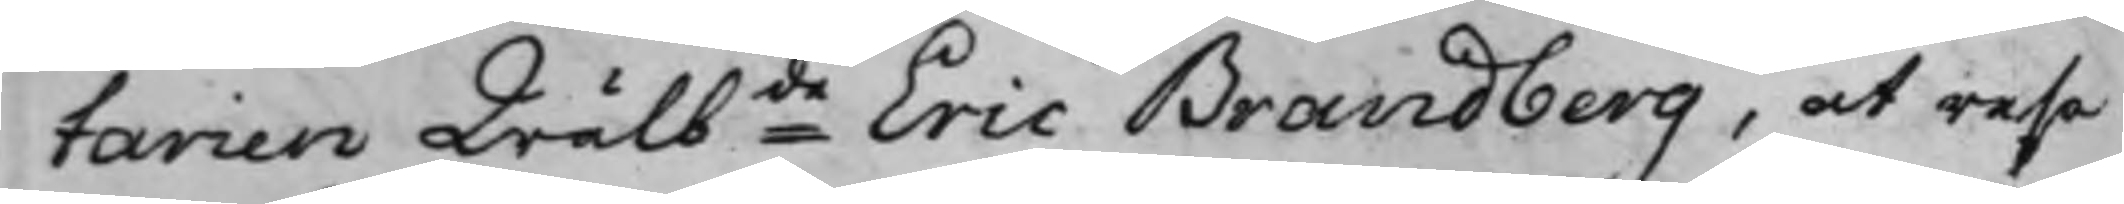tarien Wälbde Eric Brandberg, at resa
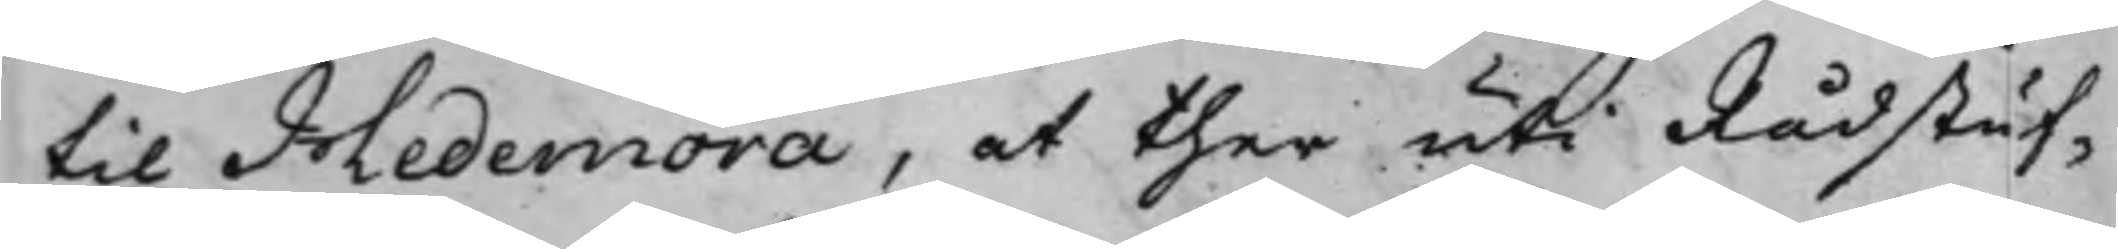til Hedemora, at ther uti Rådstuf¬
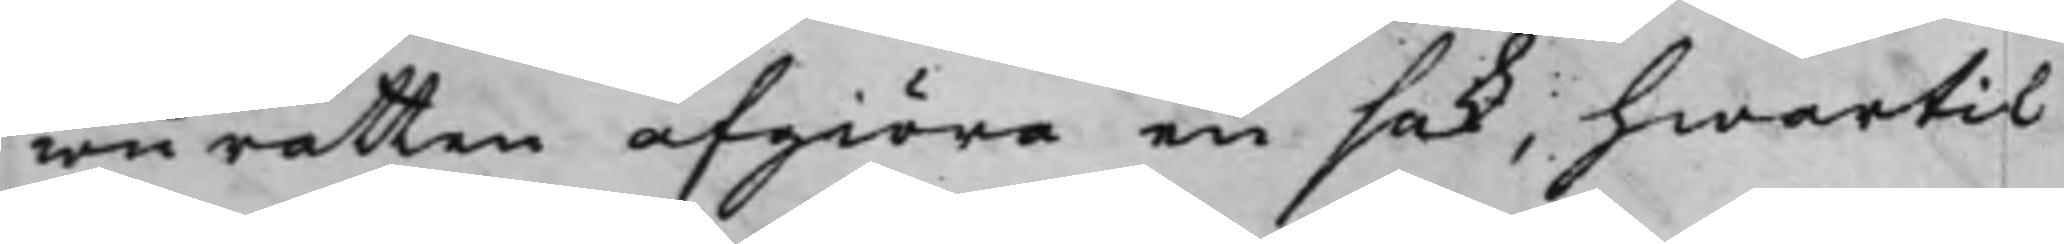wurätten afgiöra en sak, hwartil
